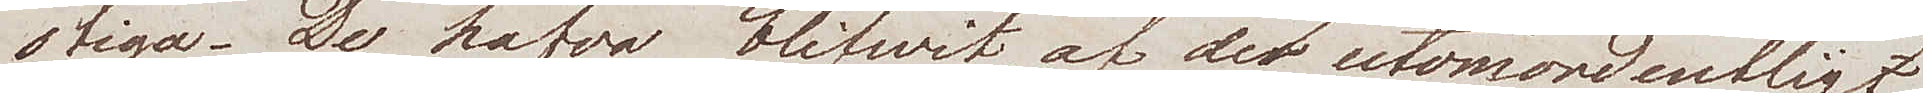stiga. De hafva blifwit, af det utomordentligt
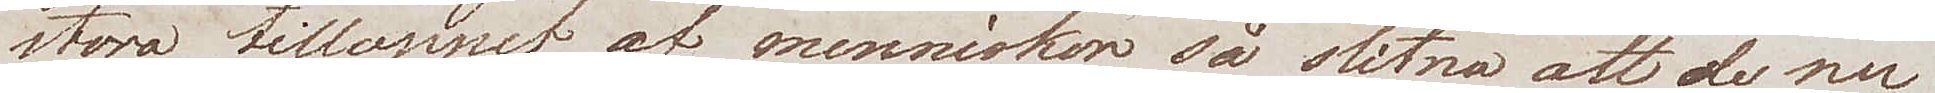stora tilloppet af menniskor så slitna att de nu
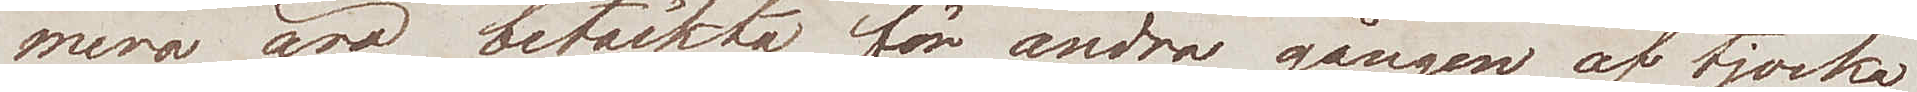mera äro betäckta för andra gången av tjocka
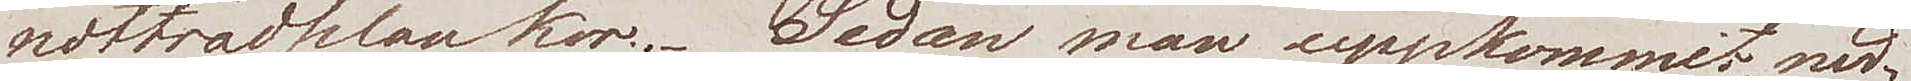nötträdplankor. Sedan man uppkommit, ned¬
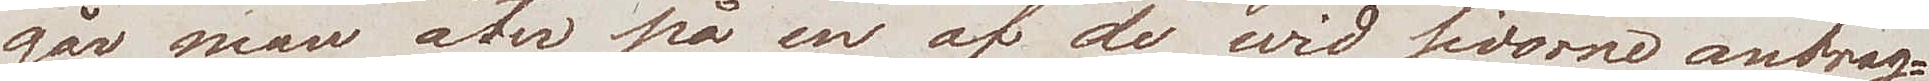går man åter på en af de wid sidorne anbrag¬
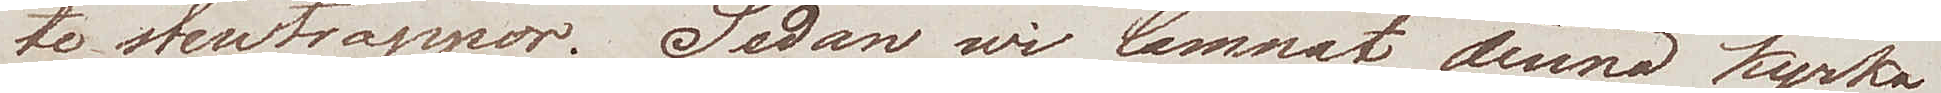te stentrappor. Sedan wi lämnat denna kyrka
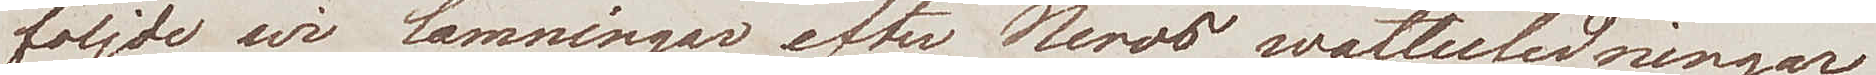följde wi lämningar efter Neros wattenledningar
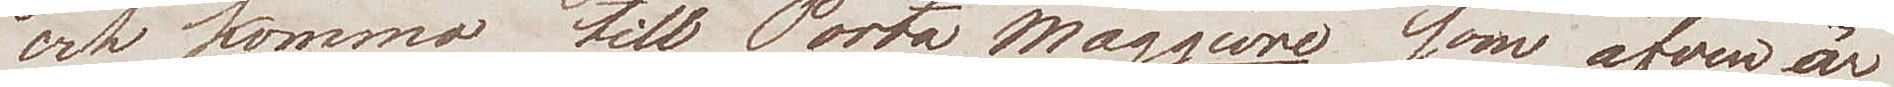och kommo till Porta Maggiore som äfven är
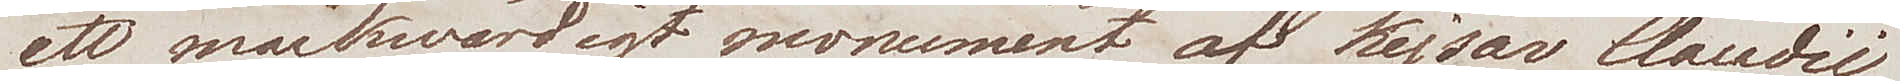ett märkwärdigt monument af Kejsar Claudii
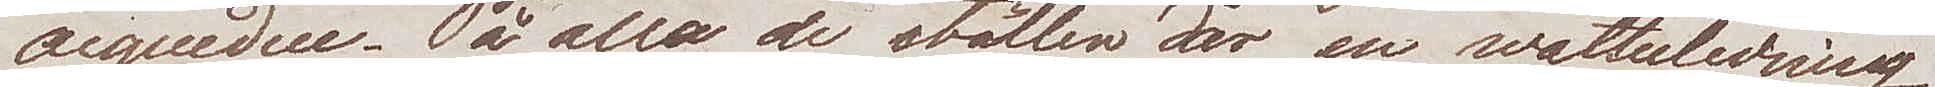acqueduc. På alla de ställen där en wattenledning
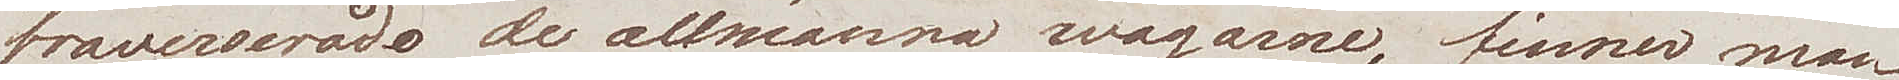traverserade de allmänna wägarne, finner man
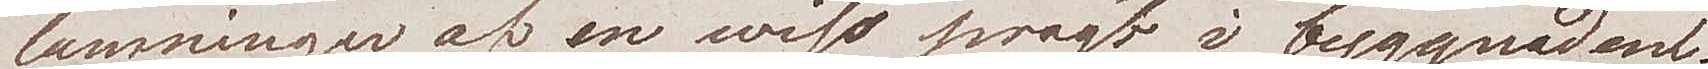lämningar af en wiss pragt i byggnaden.
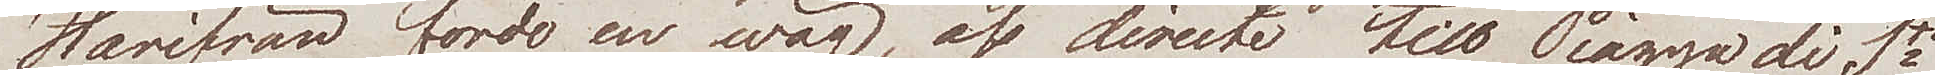Härifrån förde en wäg, oss directe till Piazza di Sta
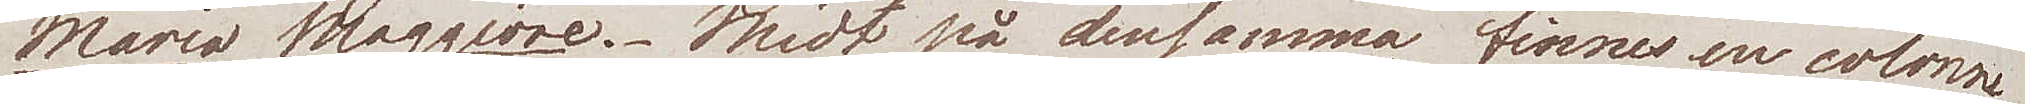Maria Maggiore. Midt på densamma finns en colonne
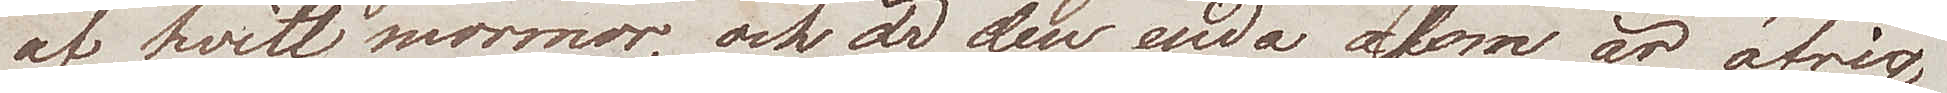af hvitt marmor, och är den enda som är öfrig
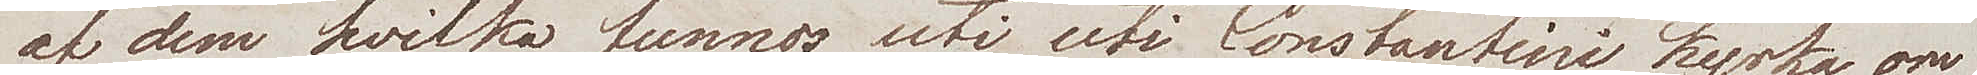af dem hvilka funnos uti uti Constantini kyrka om
